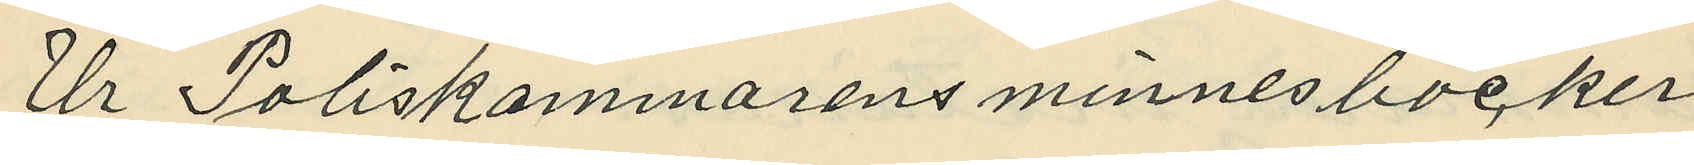Ur Poliskammarens minnesböcker
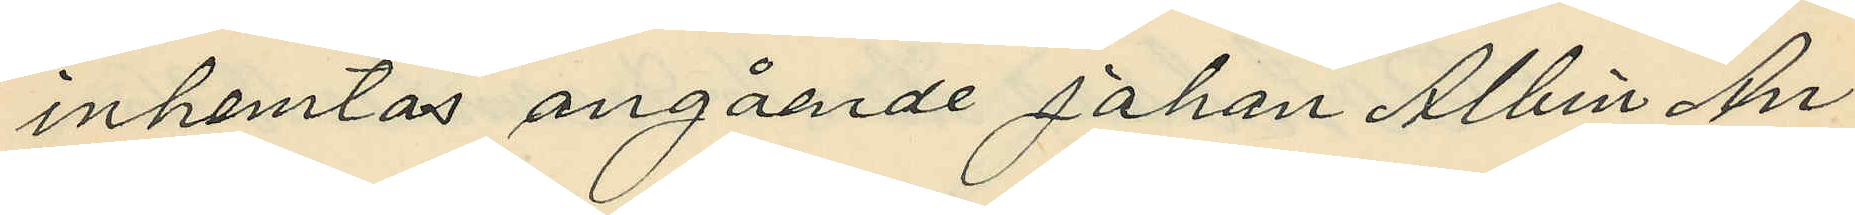inhemtas angående Johan Albin An¬
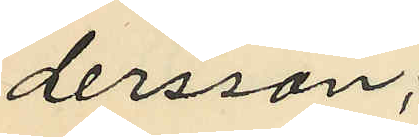dersson;
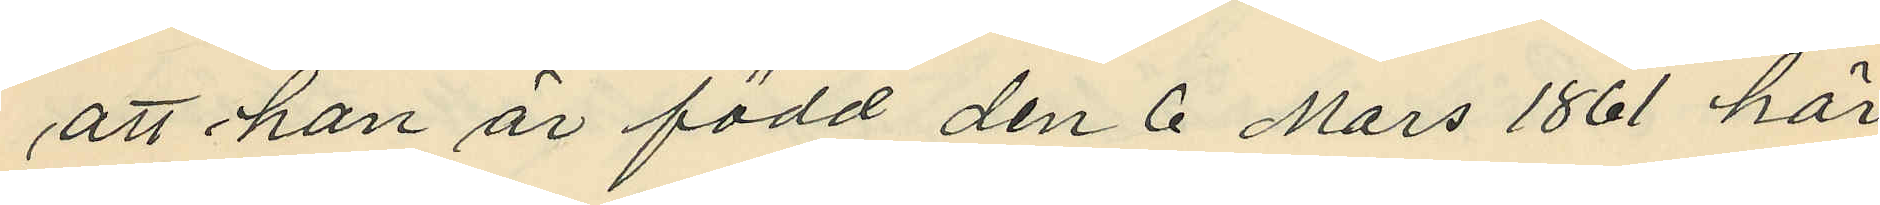att han är född den 6 Mars 1861 här
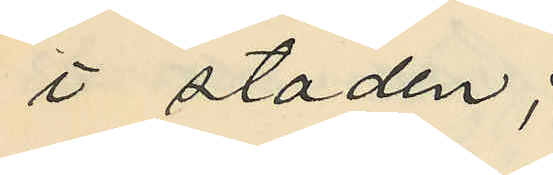i staden;
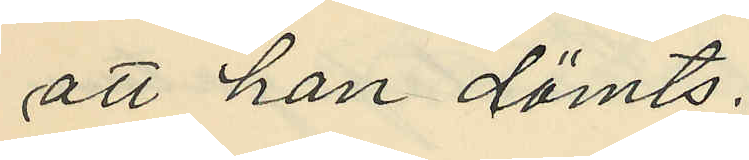att han dömts:
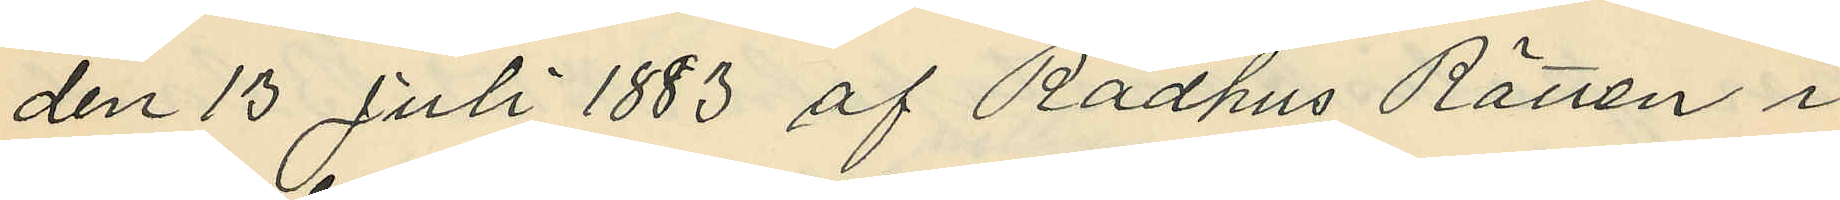den 13 Juli 1883 af Rådhus Rätten i
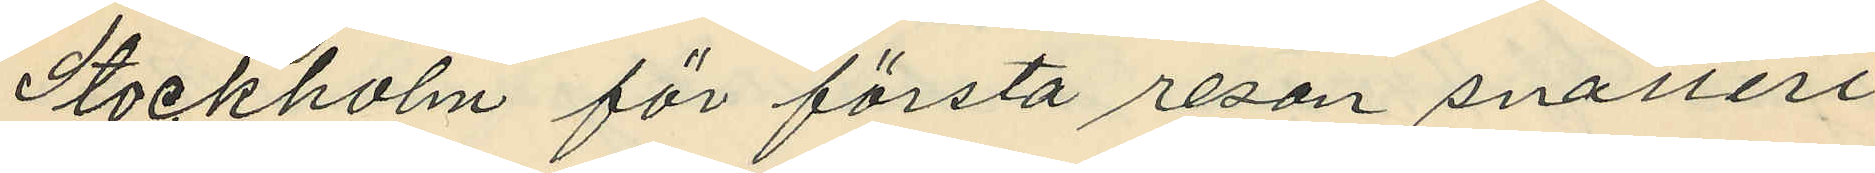Stockholm för första resan snatteri
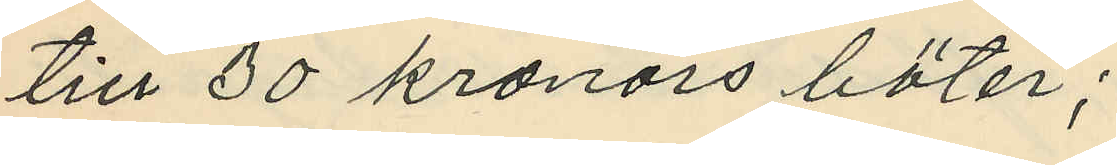till 30 kronors böter;
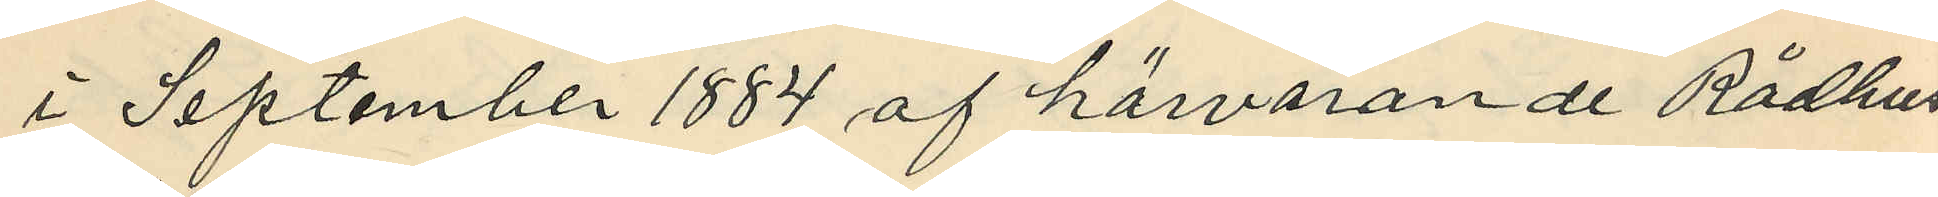i September 1884 af härvarande Rådhus
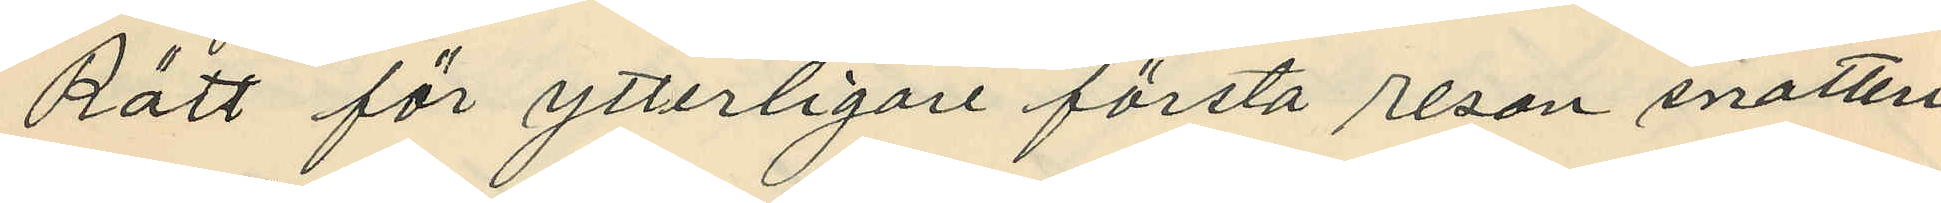Rätt för ytterligare första resan snatteri
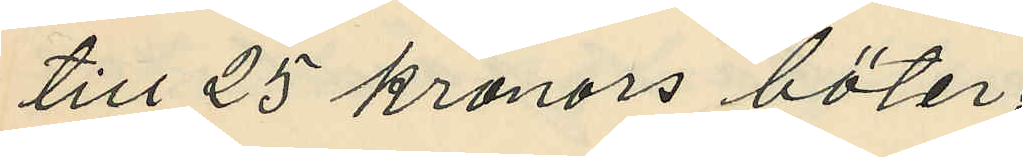till 25 kronors böter;
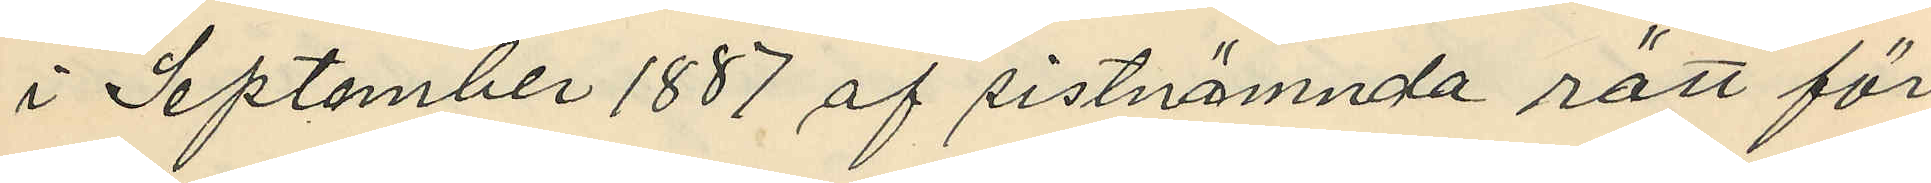i September 1887 af sistnämnda rätt för
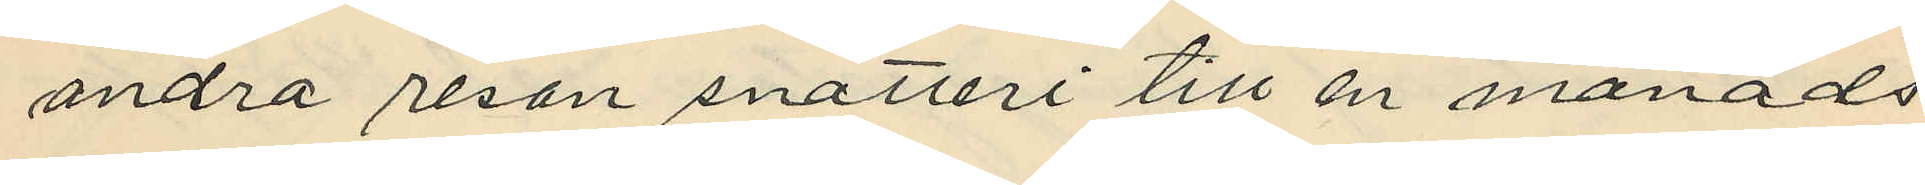andra resan snatteri till en månads
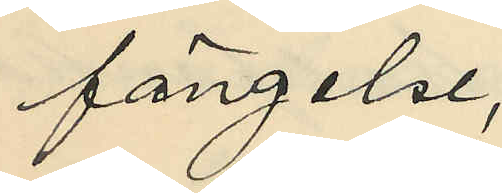fängelse;
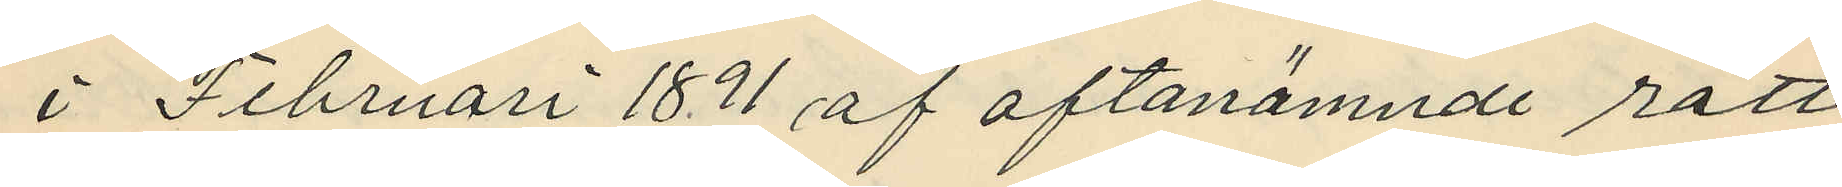i Februari 1891 af oftanämnde rätt
